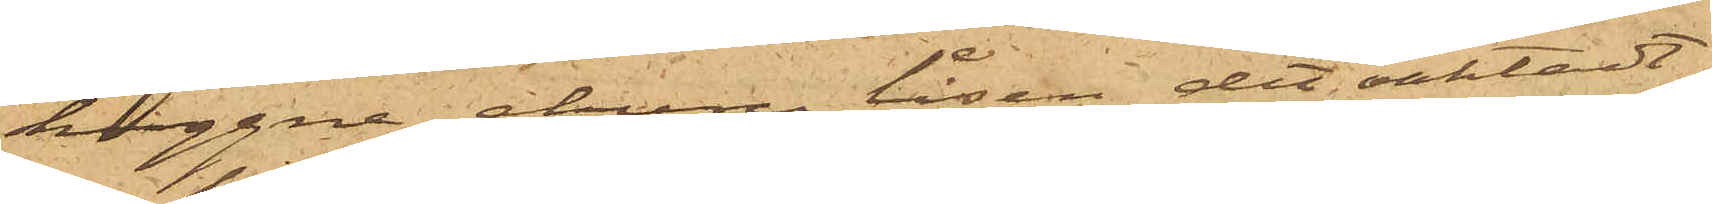huggne ehuru låsen det oaktadt
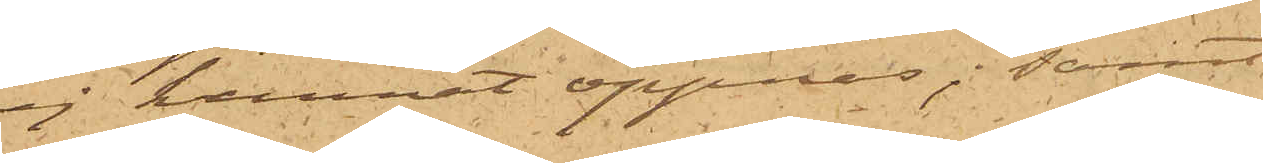ej kunnat öppnas; samt
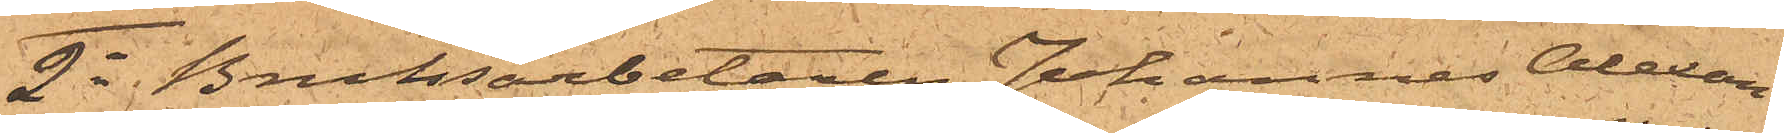2o Bruksarbetaren Johannes Alexan¬
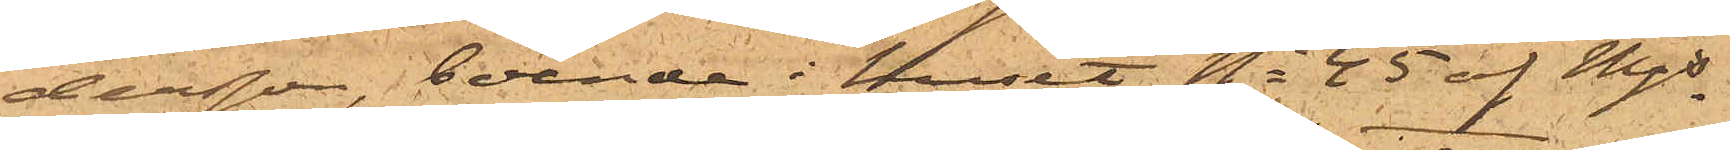dersson, boende i huset No 45 af Mjs
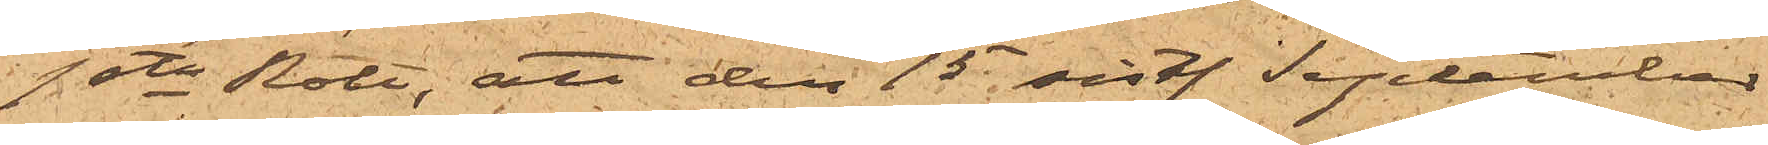1ste Rote, att den 15 sist. September
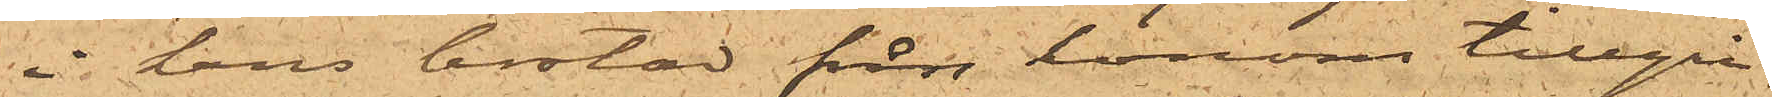i hans bostad från honom tillgri¬
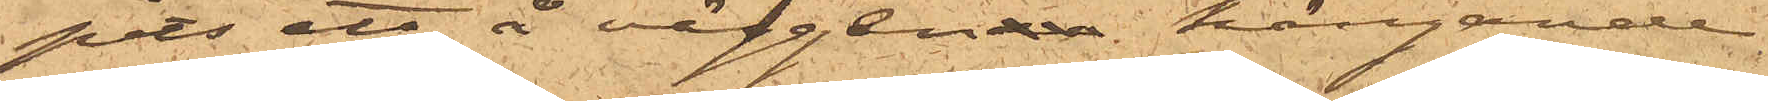pits ett å väggen hängande
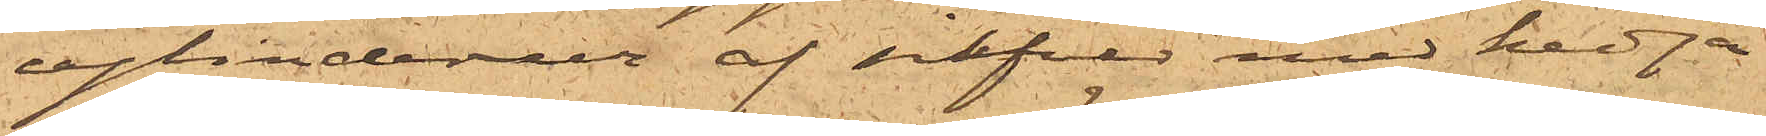cylinderur af silfver med kedja
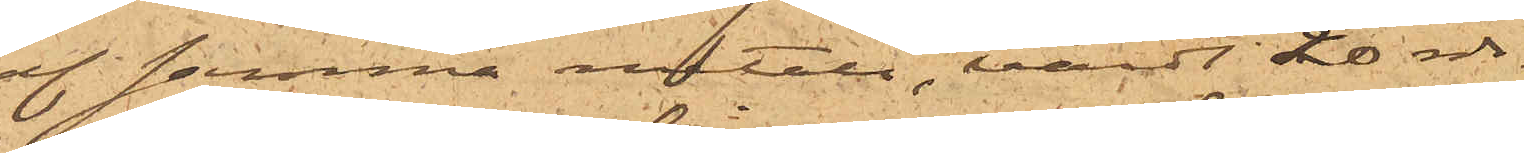af samma metall, värdt 20 rdr.
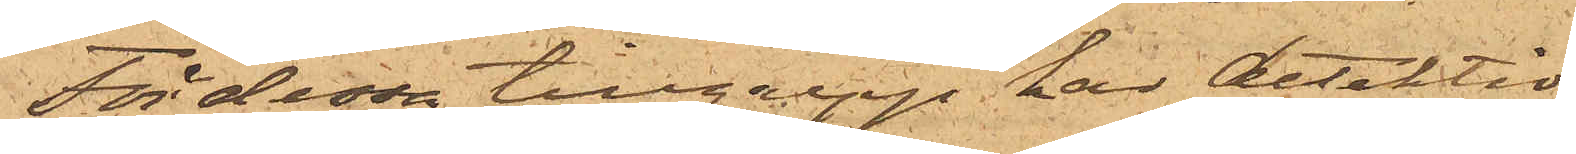För dessa tillgrepp har detektiv¬
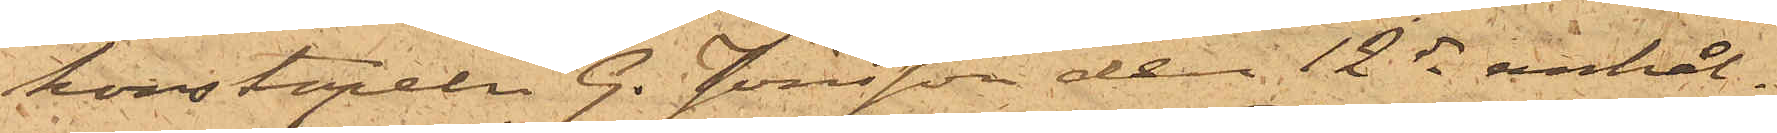konstapeln G. Jönsson den 12 ds anhål¬
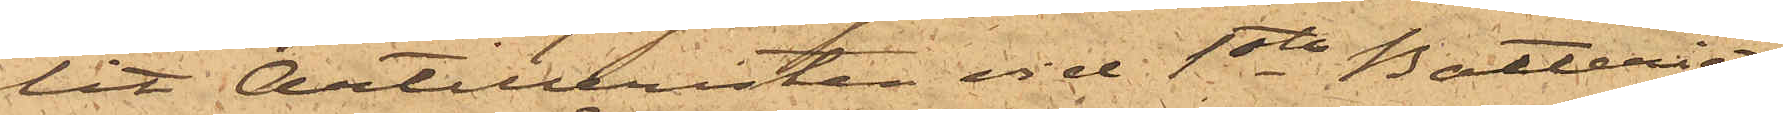lit Artilleristen vid 1sta Batteriet
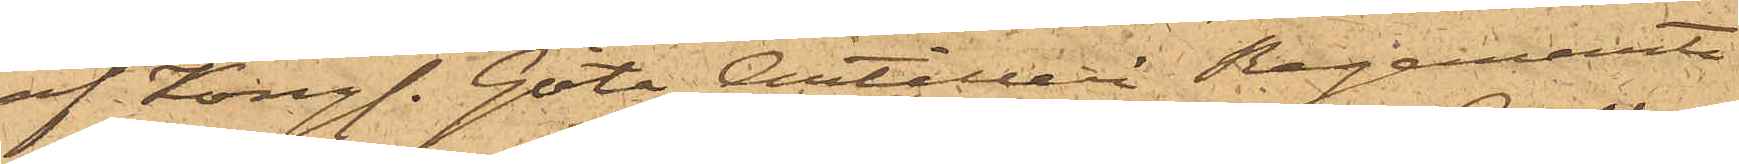af Kongl. Göta Artilleri Regemente
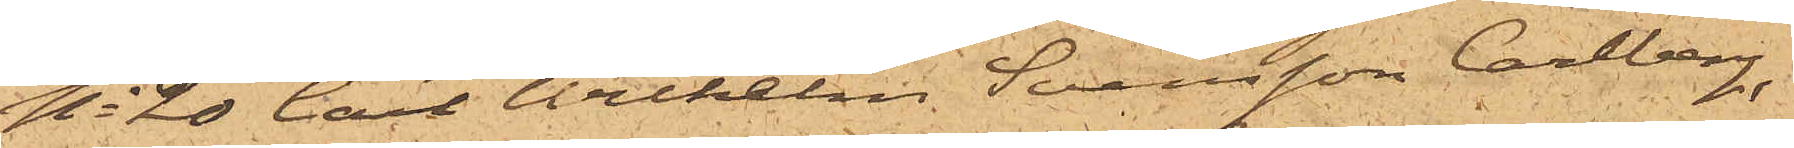No 20 Carl Wilhelm Svensson Carlberg,
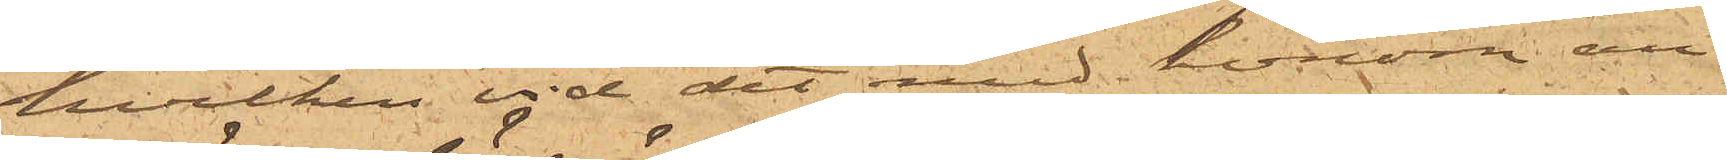hvilken vid det med honom an¬
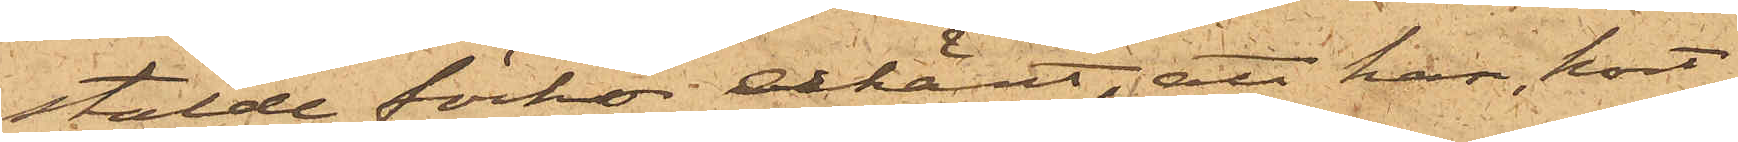stälde förhör erkänt, att han, kort
